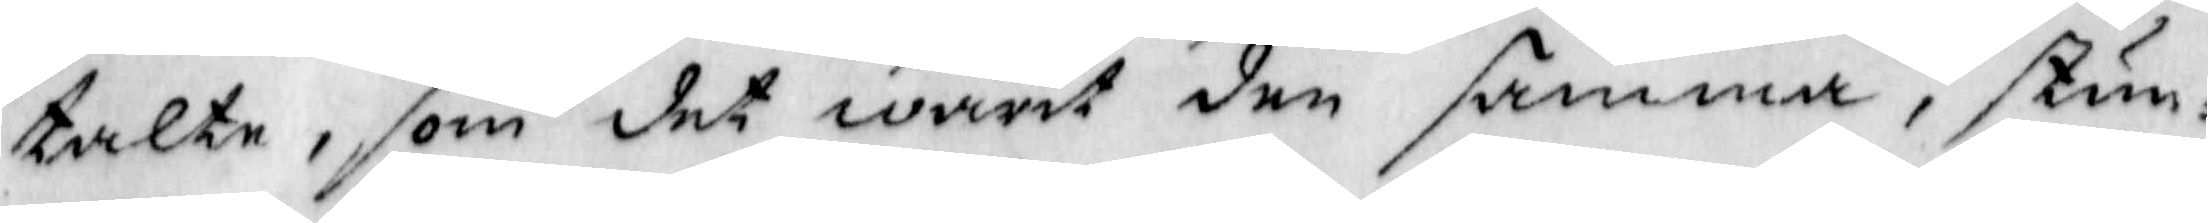talte, som det warit den samma, stun¬
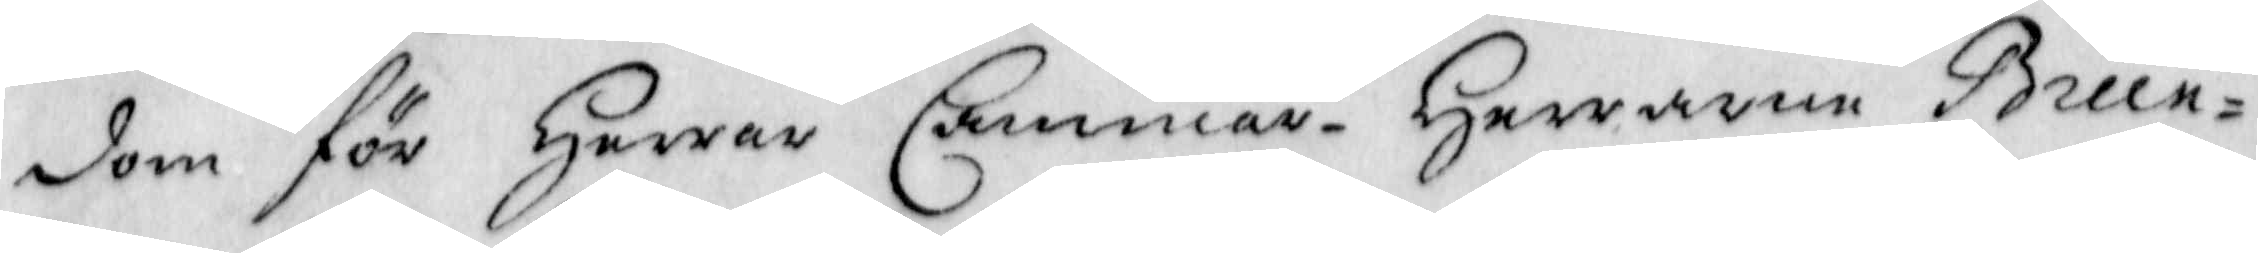dom för Herrar Cammar- Herrarne Brun¬
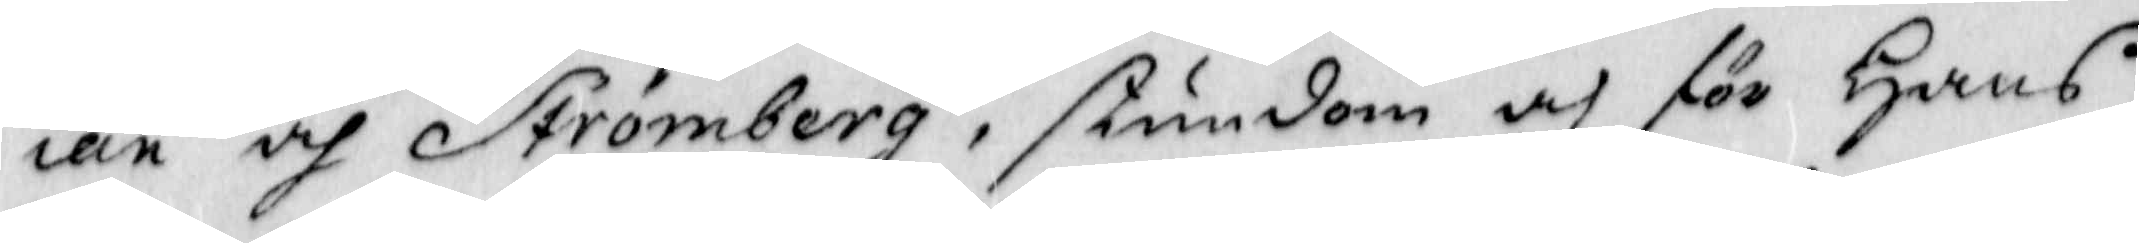ian och Strömberg, stundom och för Hans
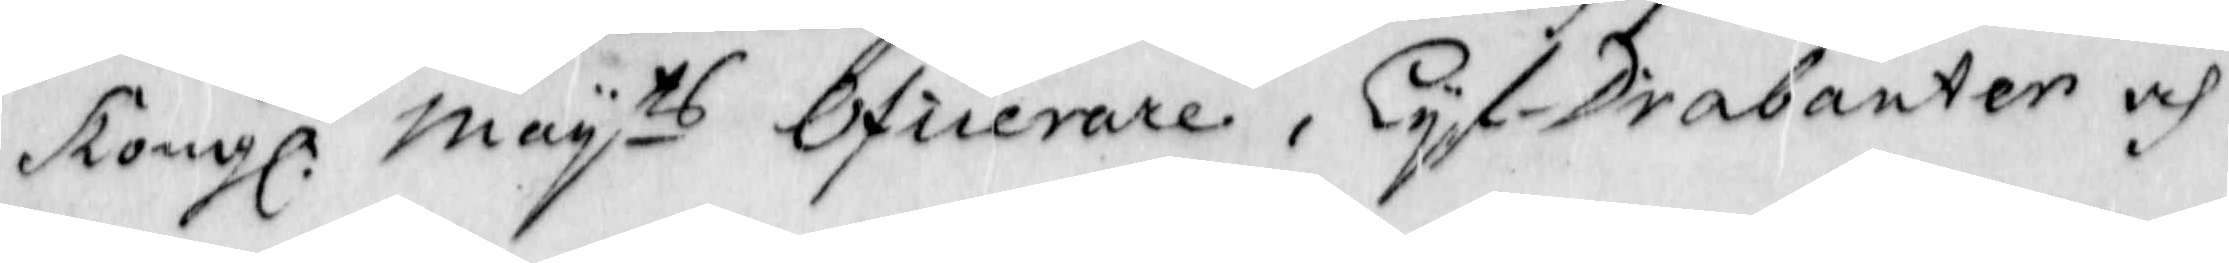Kongl. Mayts oficerare, Lyf-Drabanter och
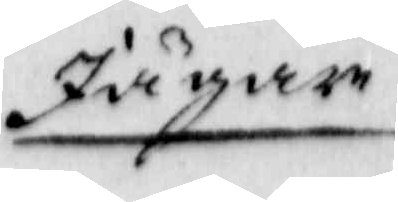Jägare
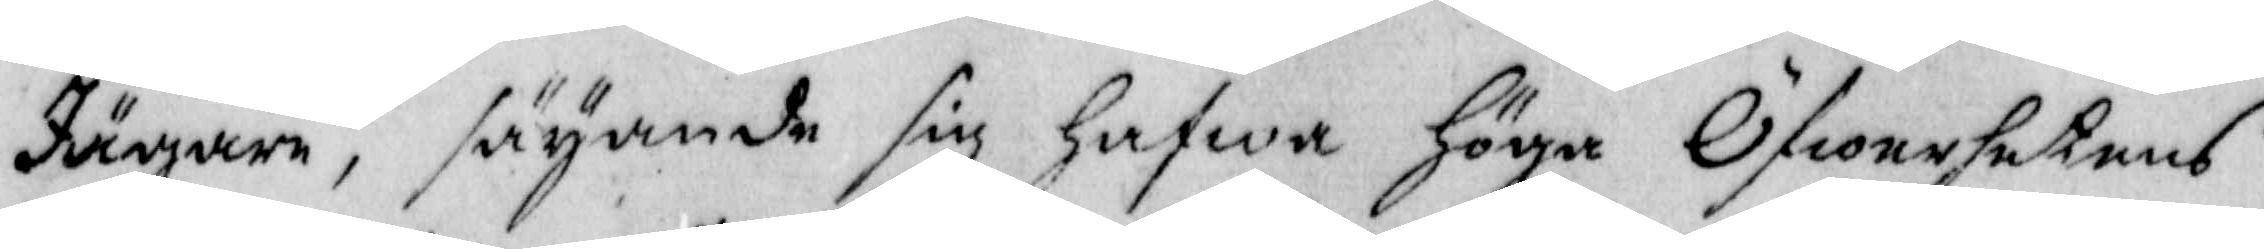Jägare, säyande sig Hafwa Höga Öfwerhetens
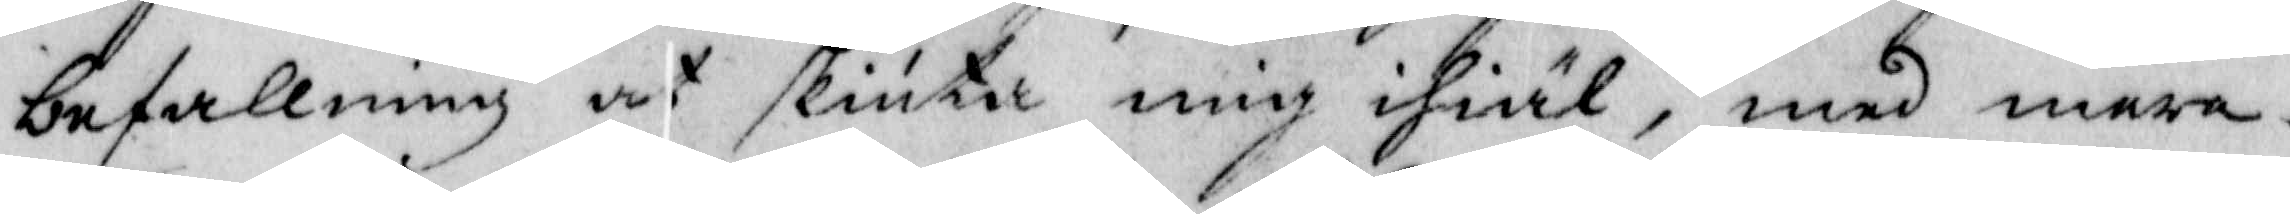befallning at skiuta mig ihiäl, med mera.
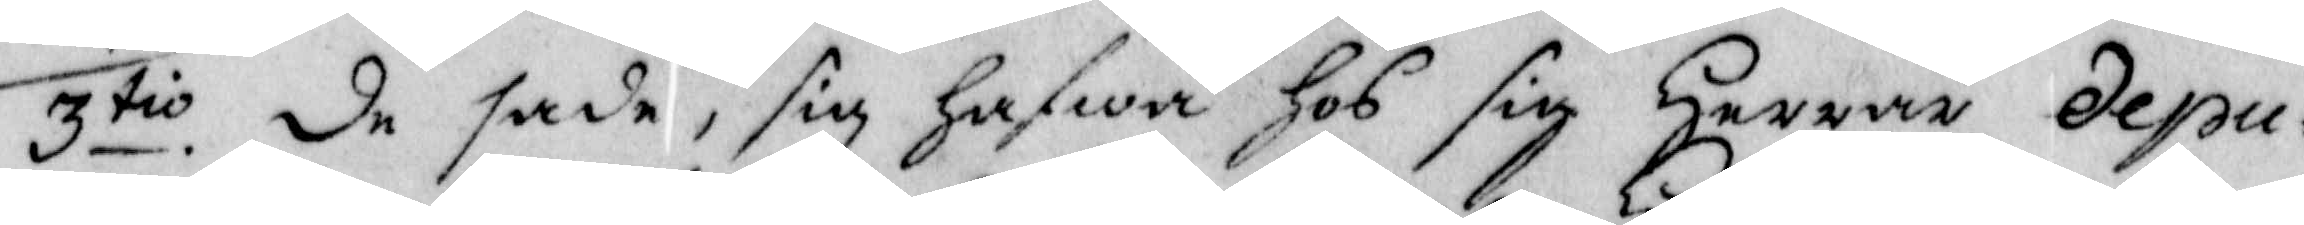3tio. de sade, sig hafwa Hos sig Herrar Depu¬
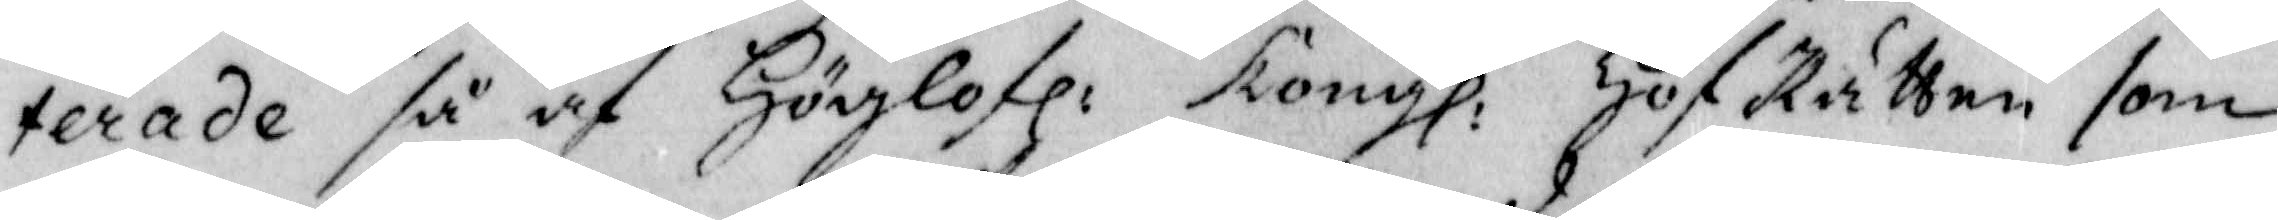terade så och Höglofl: Kongl: HofRätten som
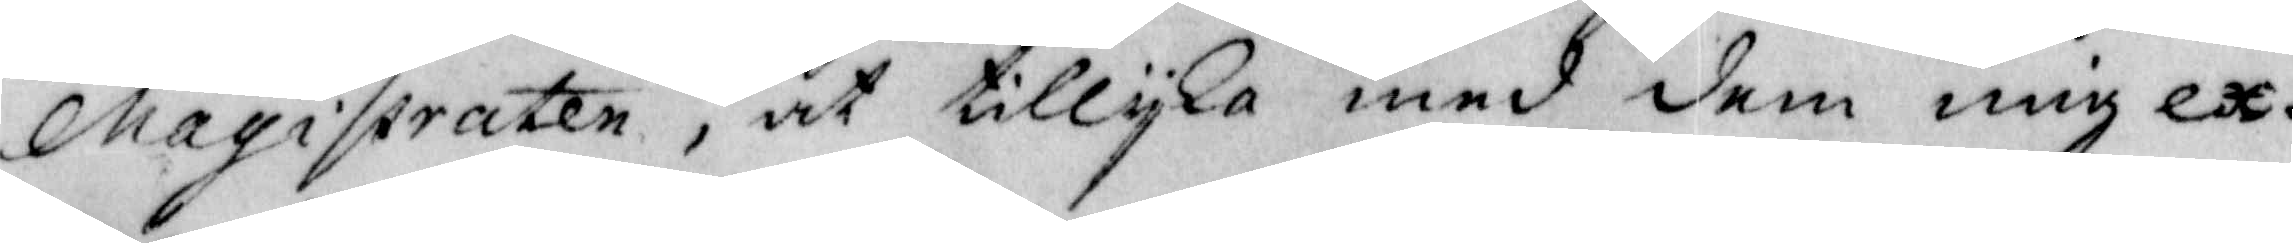Magistraten, at tillyka med dem mig ex¬
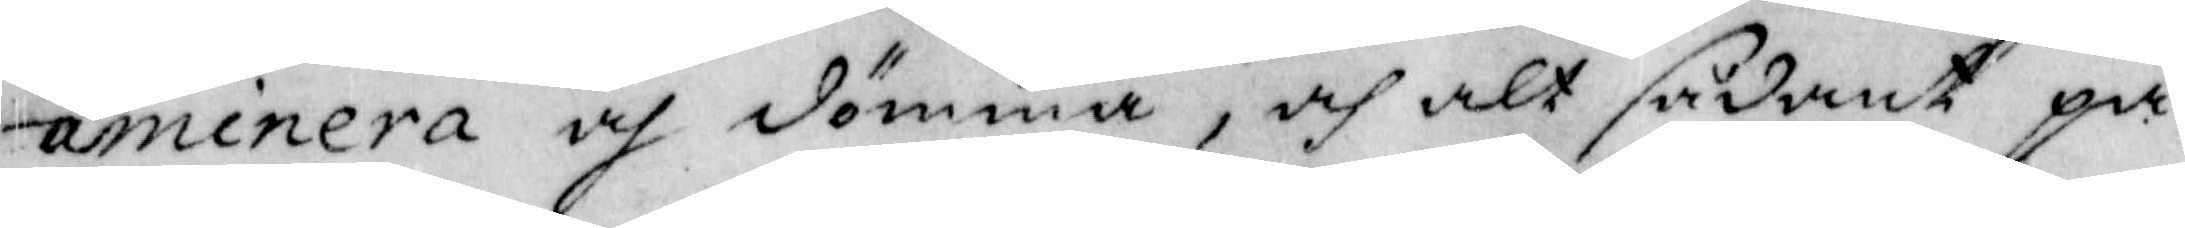aminera och dömma, och alt sådant på
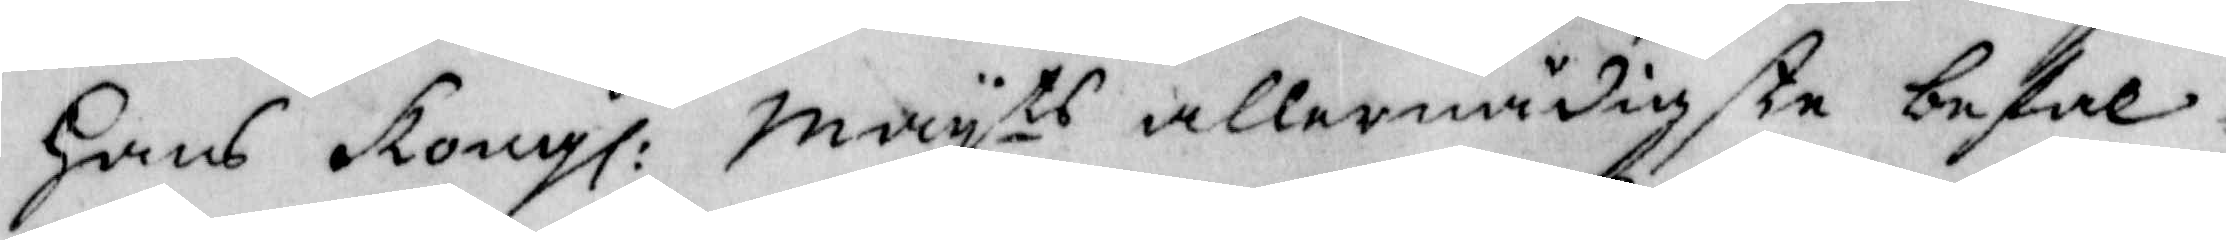Hans Kongl: Mayts allernådigste befal¬
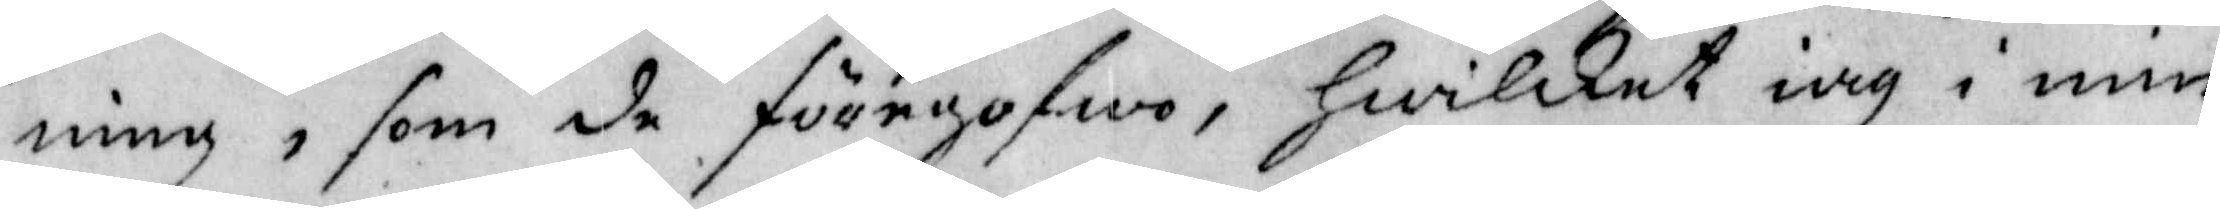ning, som de föregofwo, Hwilket iag i min
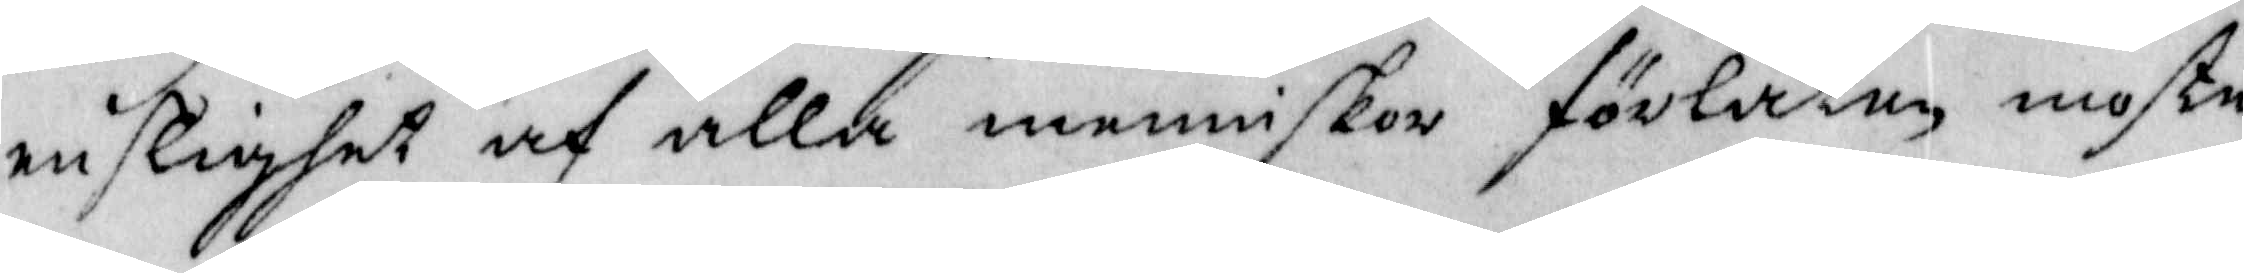enslighet och alla menniskor förlåten moste
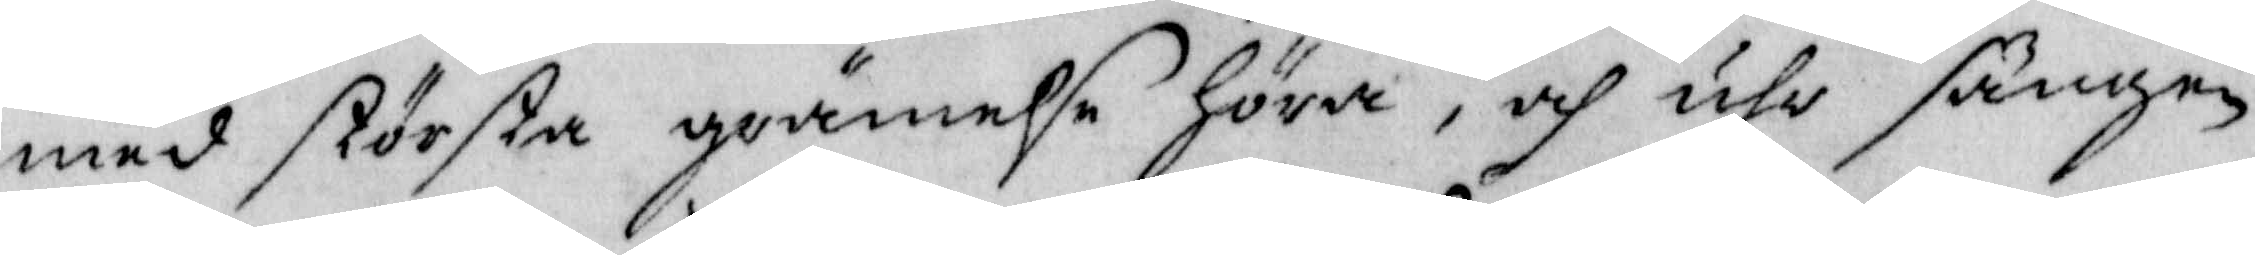med största grämelse Höra, och uhr sängen
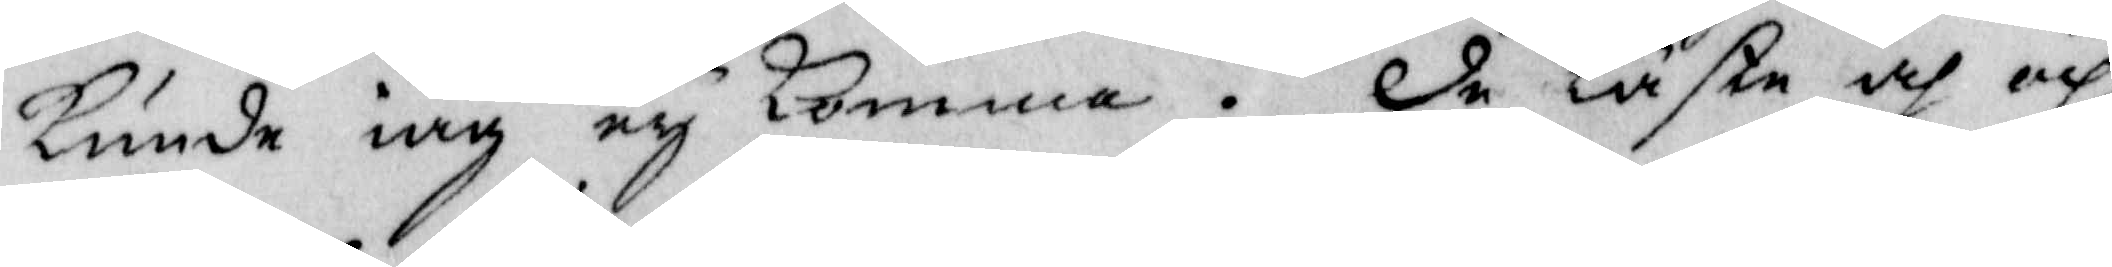kunde iag ey komma. De läste och op
